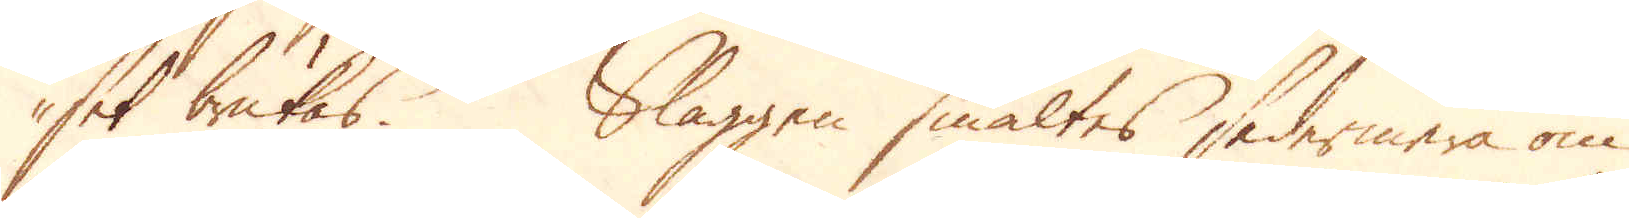set brukas. Slaggen smältes sedermera om
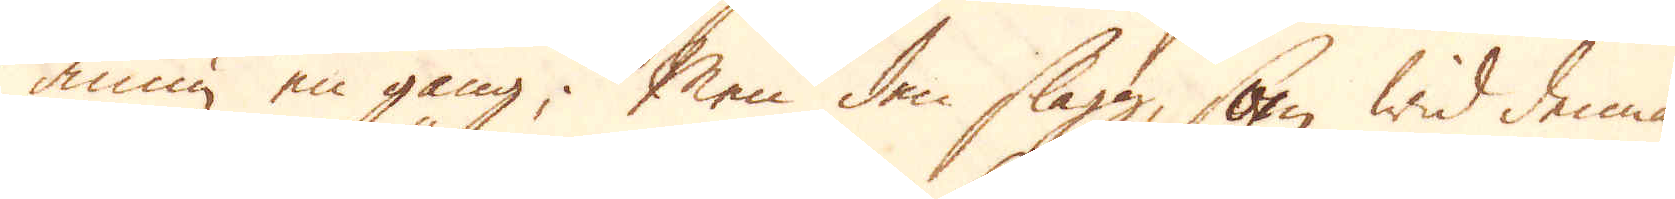ännu en gång; Men den slagg, som wid denna
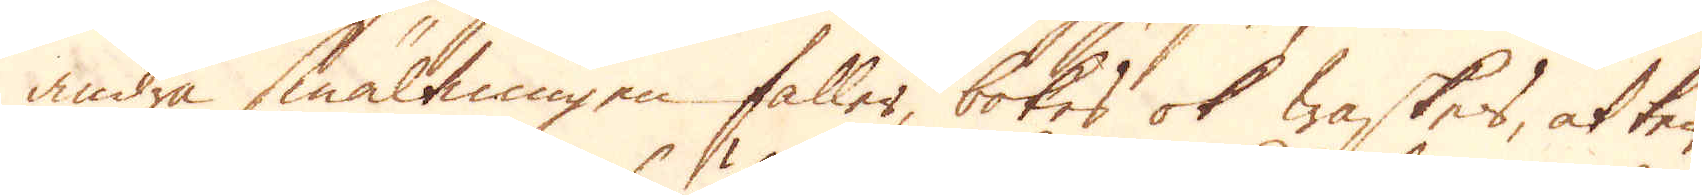andra smältningen faller, bökes ok waskes, at tenn-
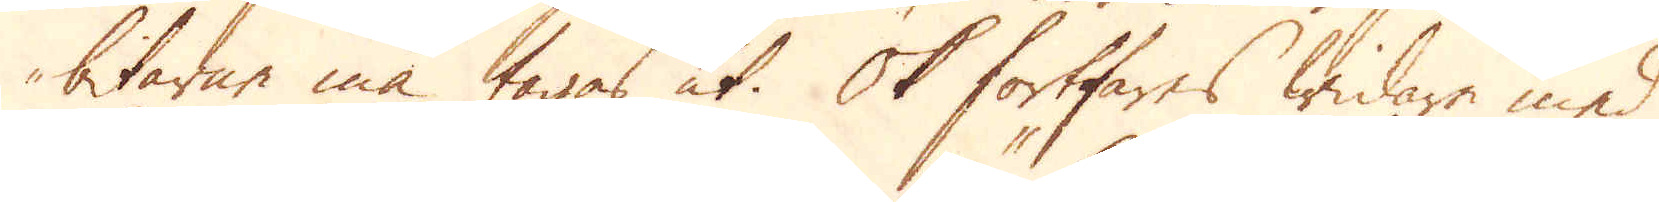bitarne må tagas ut. Ok fortfares widare med
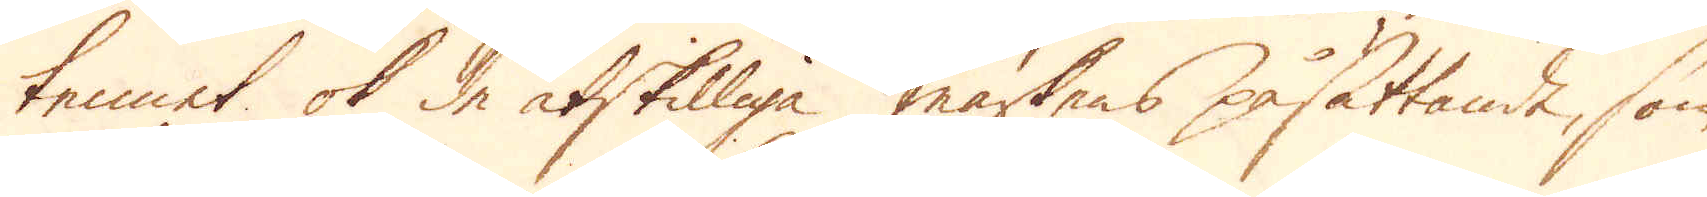tennet ok de åtskilliga märkens påsättande, som
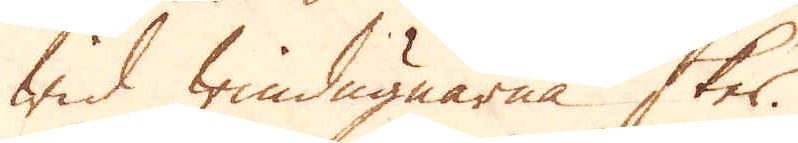wid Windugnarna sker.
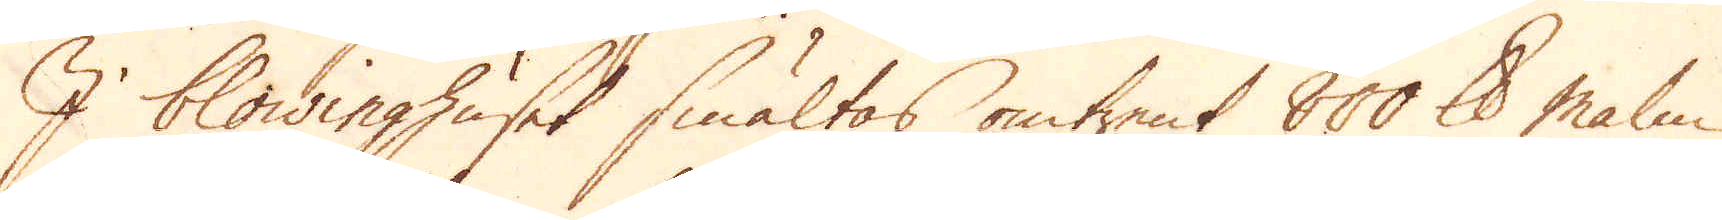I blowinghuset smältas omtrent 800 skålpund malm
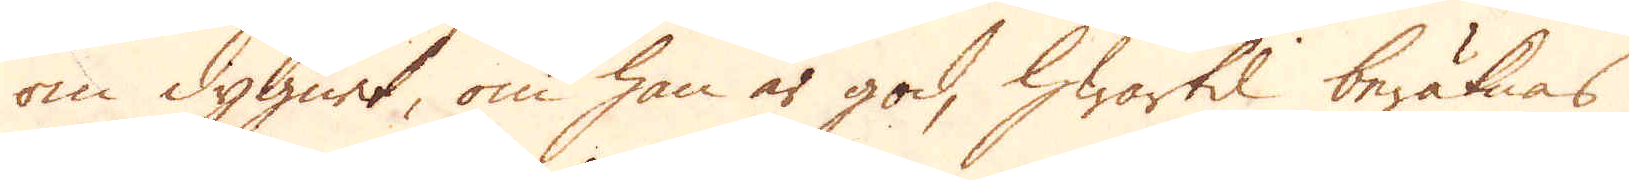om dygnet, om han är god, hwartil beräknas
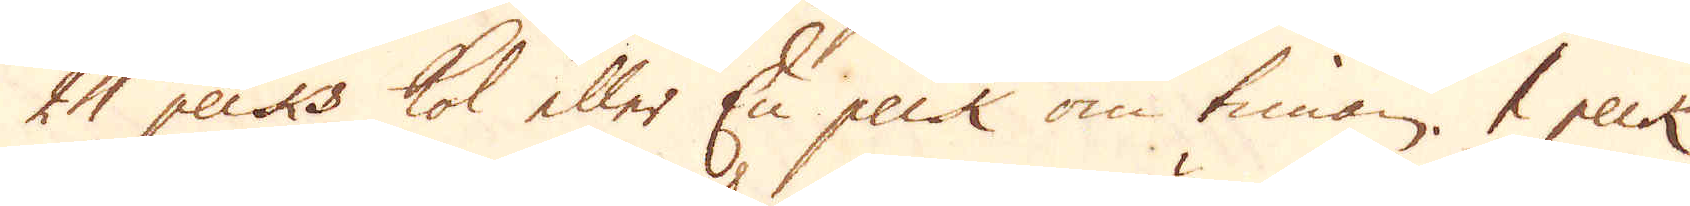24 pecks kol eller En peck om timan. 1 peck
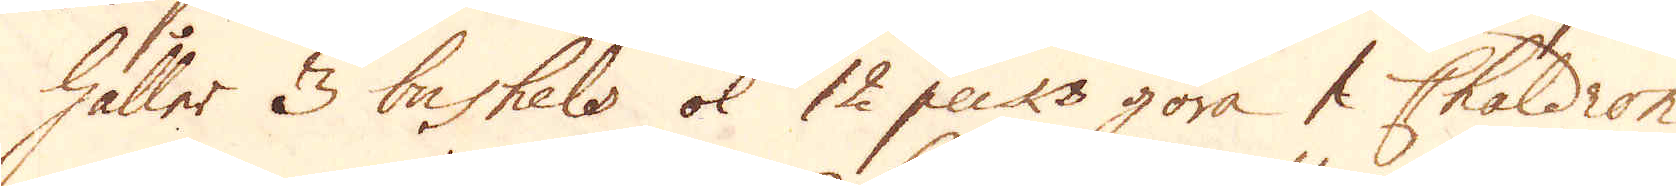håller 3 bashels ok 12 pecks göra 1 Chaldron
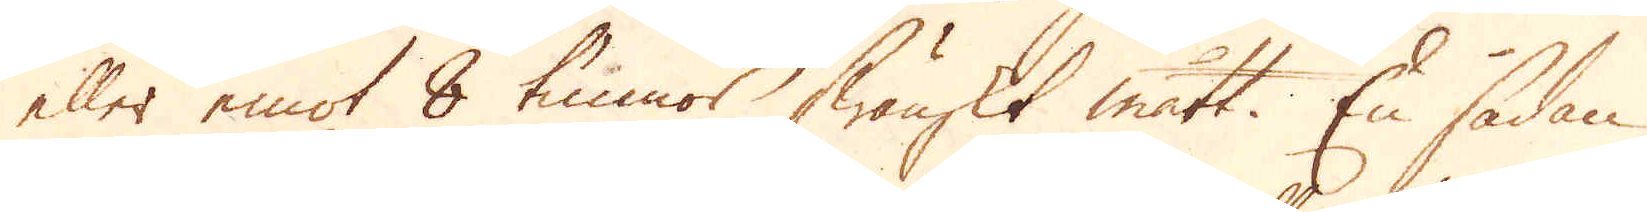eller emot 8 tunnor Swänskt mått. En sådan
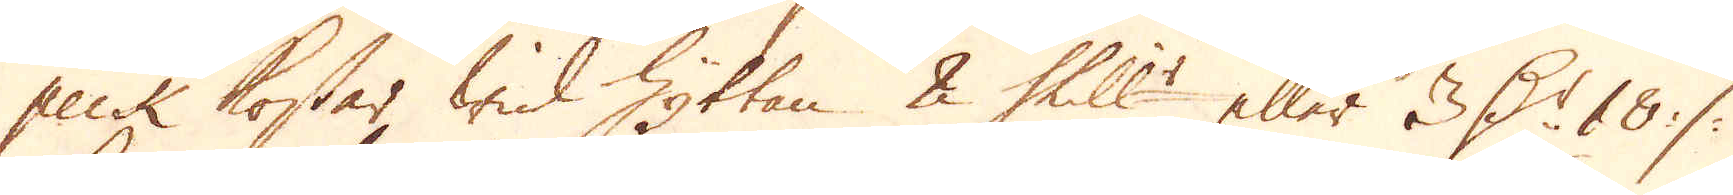peck kostar wid Hyttan 2 Shill:r eller 3 D:r 18 :/:
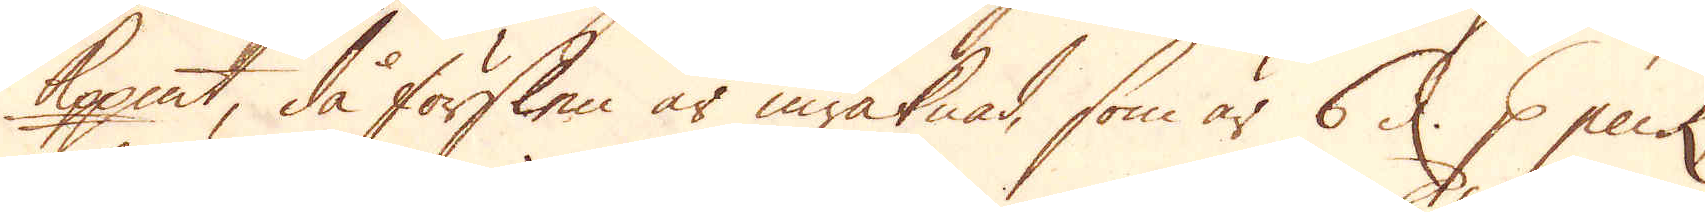Kopp:mt, då förslen är inräknad, som är 6 d. p peck,
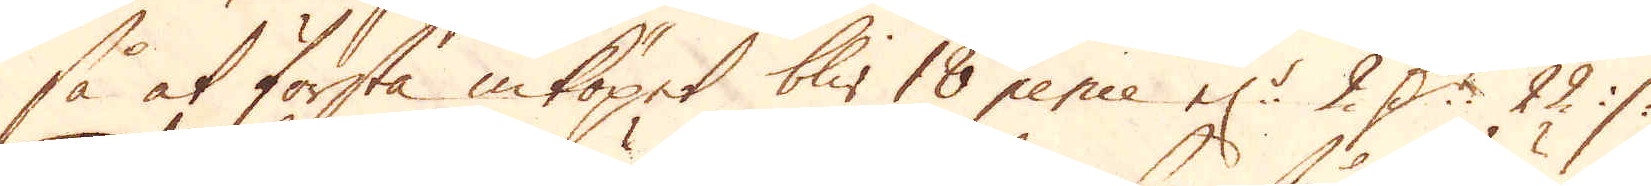så at första inköpet blir 18 pence el:r 2 D:r 22 :/:
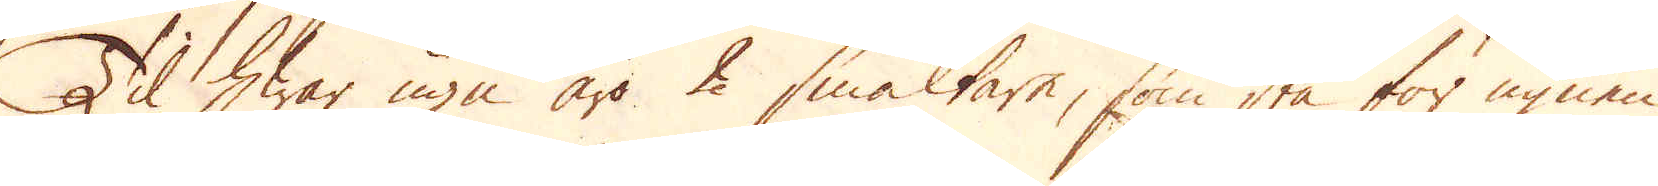Til hwar ugn äro 2 smältare, som stå för ugnen
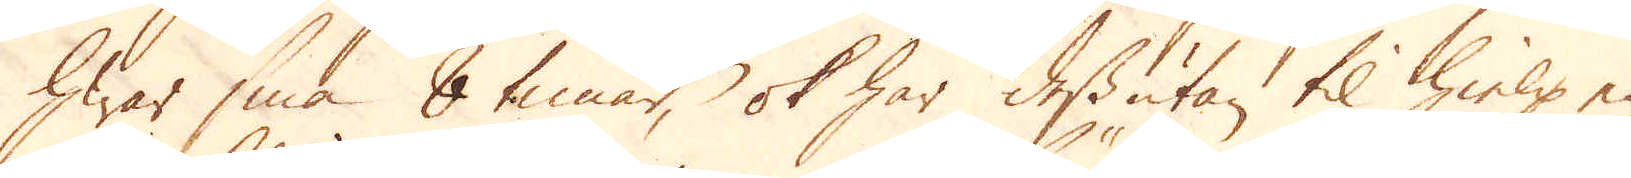hwar sina 8 timar, ok har dessutan til hielp en
